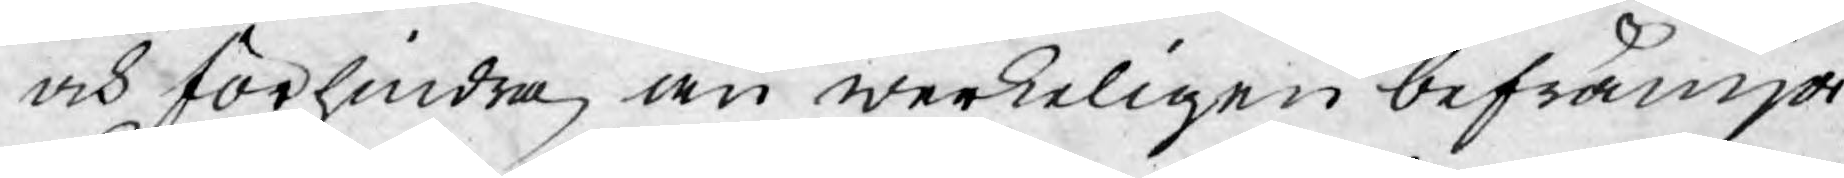och förhindra, än werkeligen befrämja
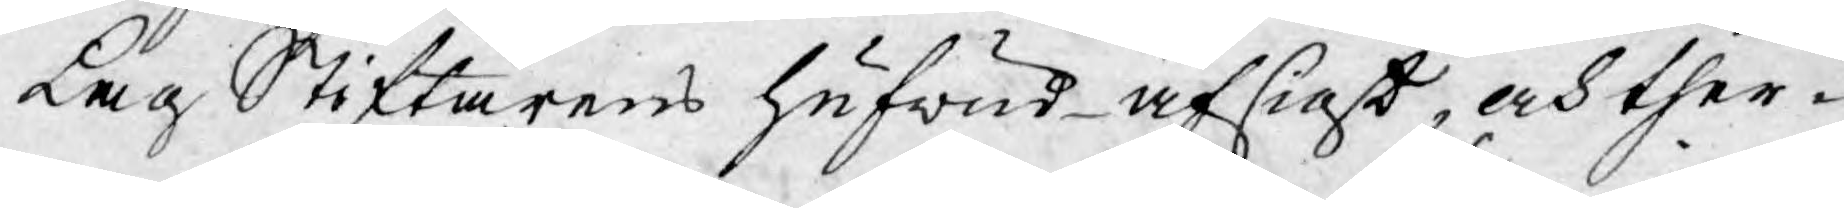Lag Stiftarens hufwud-afsigt, och ther¬
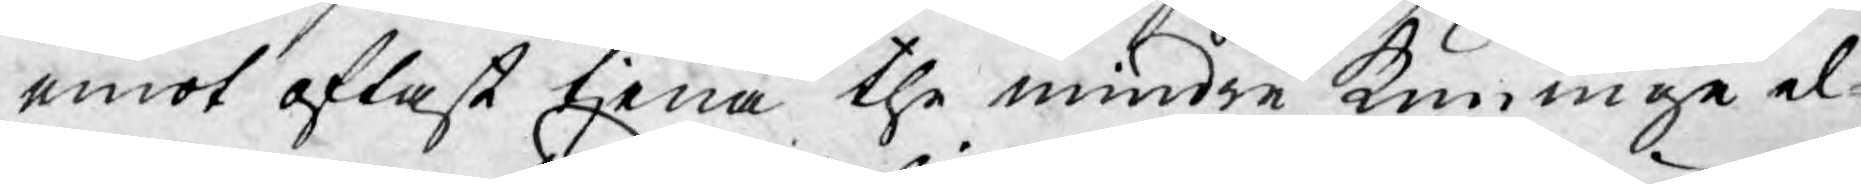emot oftast tjena the mindre kunnige el¬
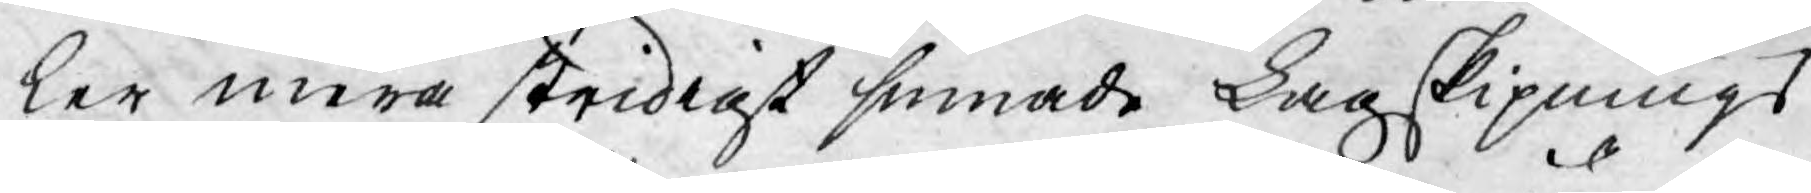ler mera stridigt sinnade Lagskipnings
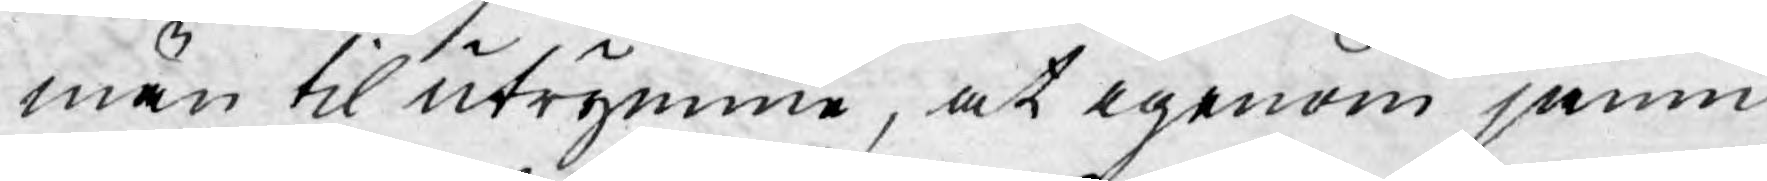män til utrymme, at igenom jämm¬
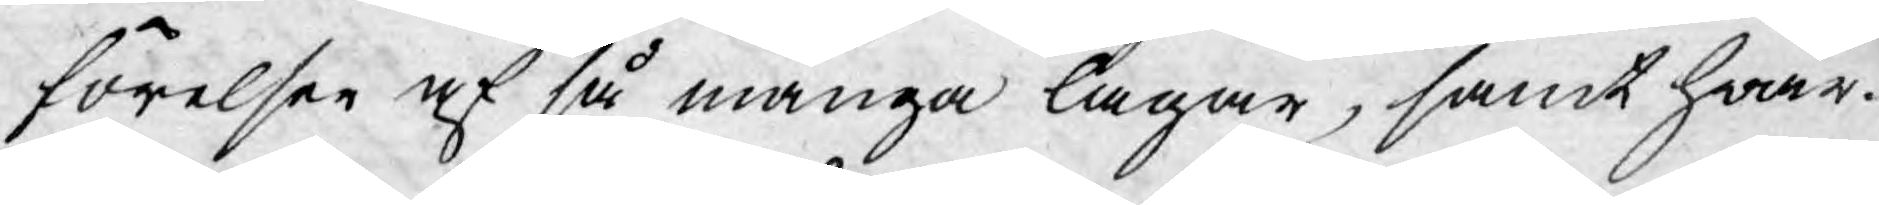förelser af så många lagar, samt hwar-
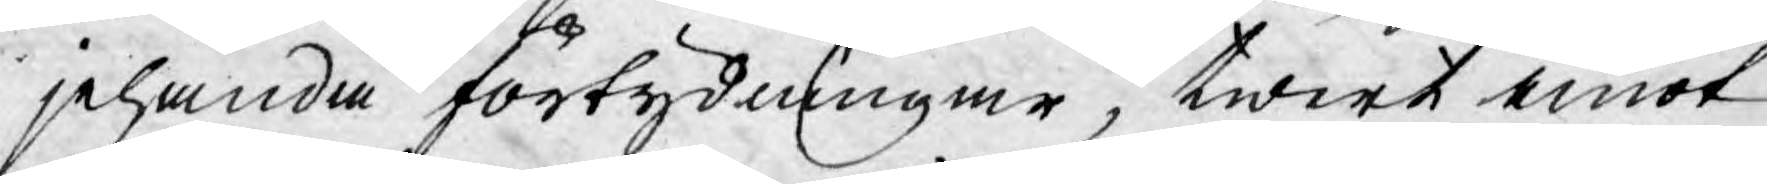jehanda förtydningar, twert emot
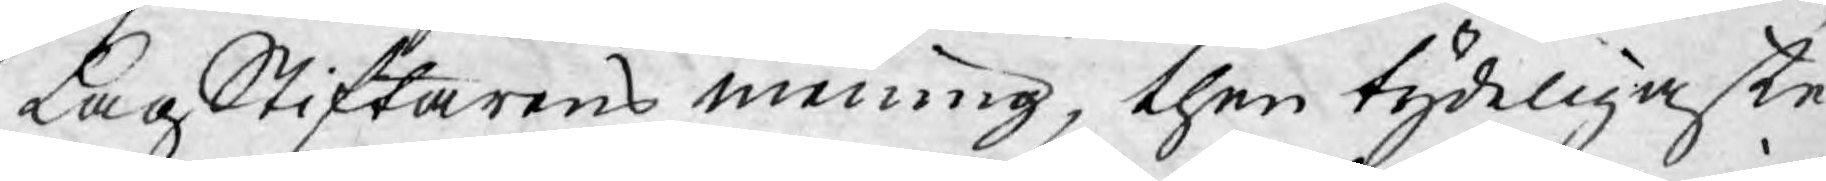LagStiftarens mening, then tydeligaste
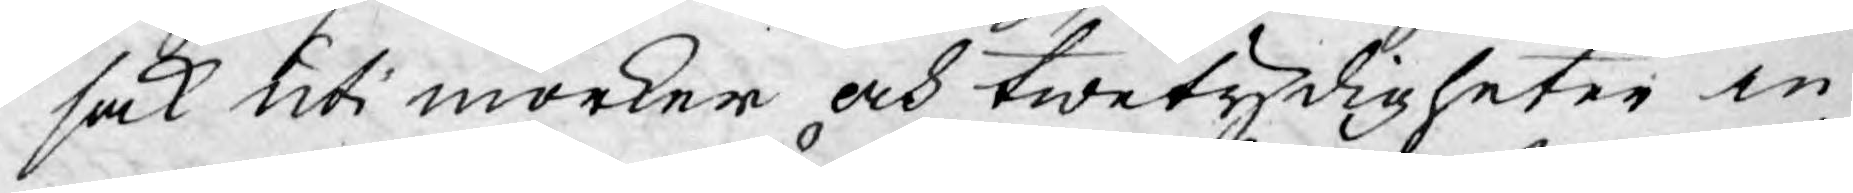sak uti mörker och twetydigheter in¬
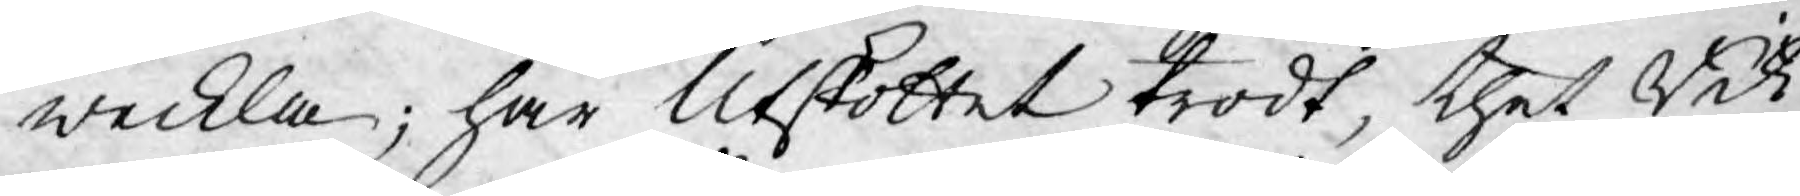weckla; har Utskottet trodt, thet Rik¬
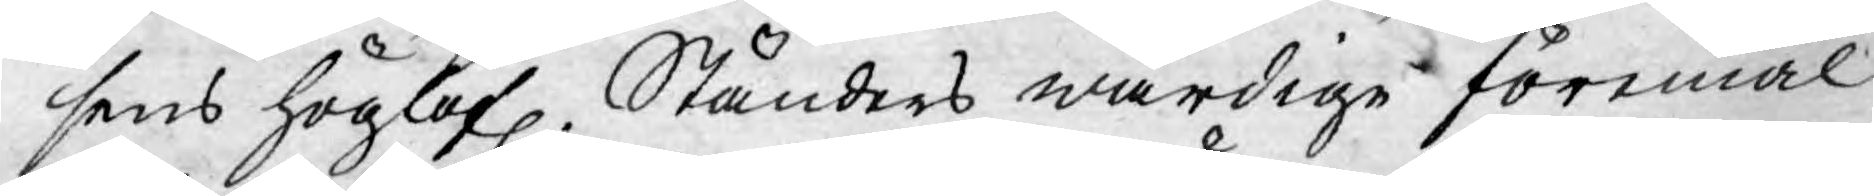sens höglofl. Ständers wärdige föremål
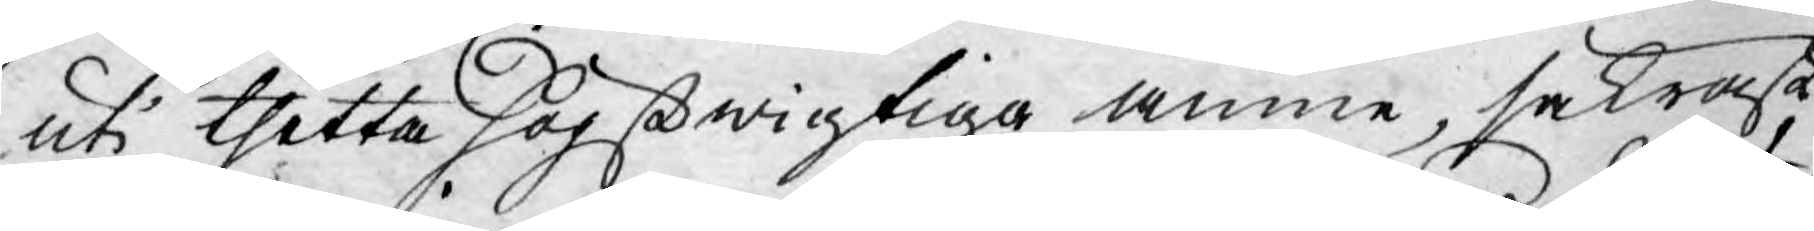uti thetta högstwigtiga ämne, säkrast
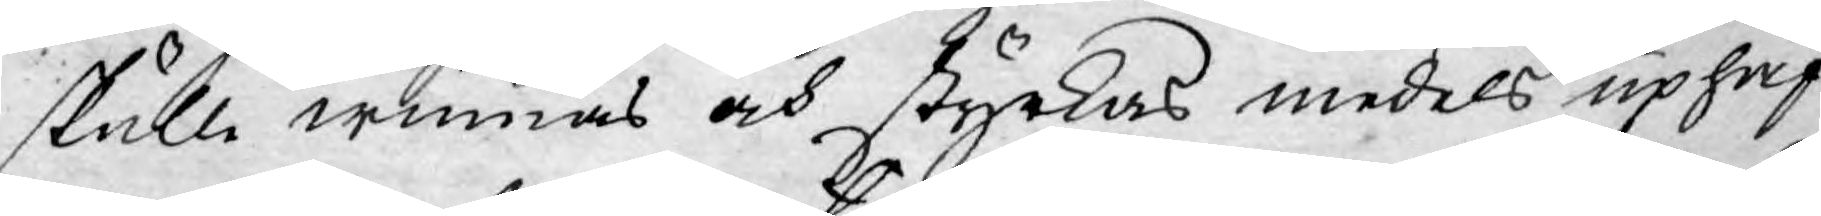skulle winnas och styrkas medels uphäf¬
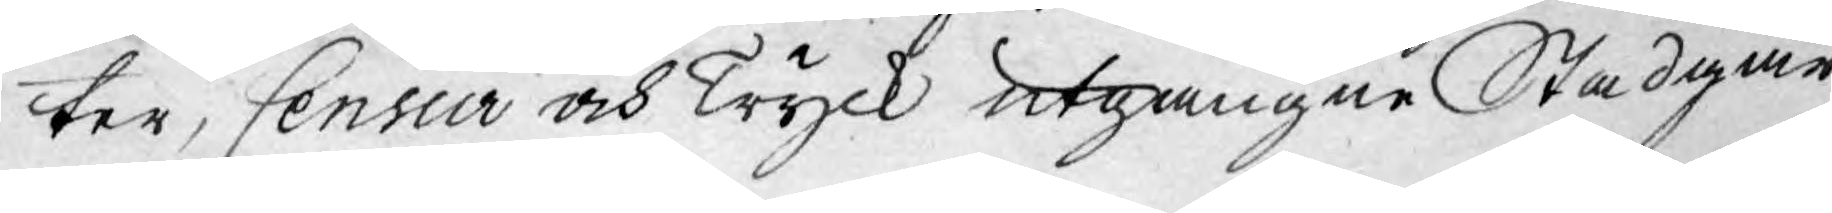ter, Censur och Tryck utgångne Stadgar,
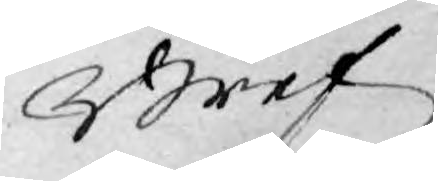Bref
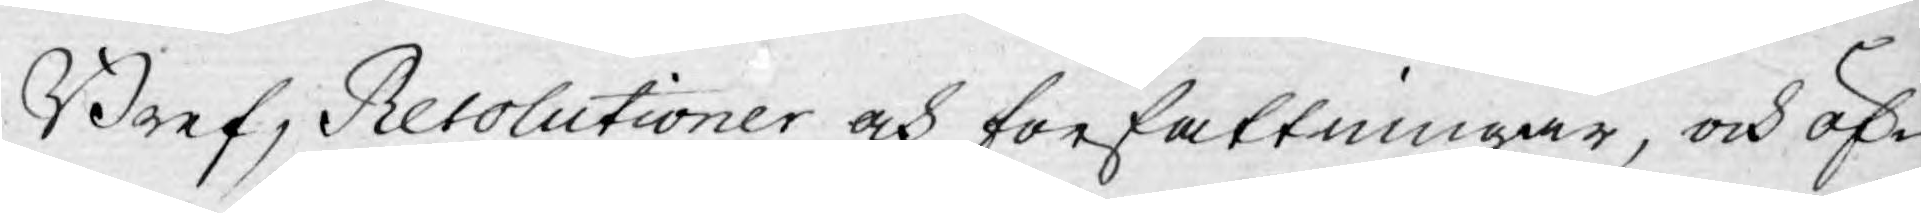Bref, Resolutioner och författningar, och öf¬
